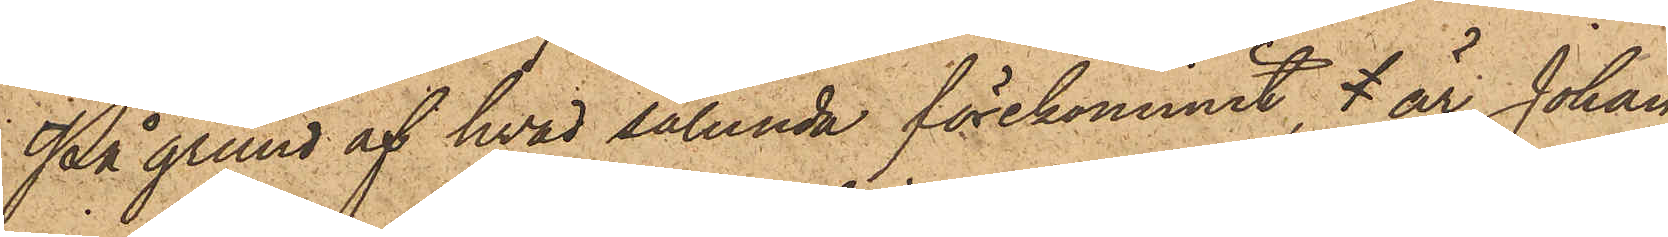På grund af hvad sålunda förekommit, l är Johan
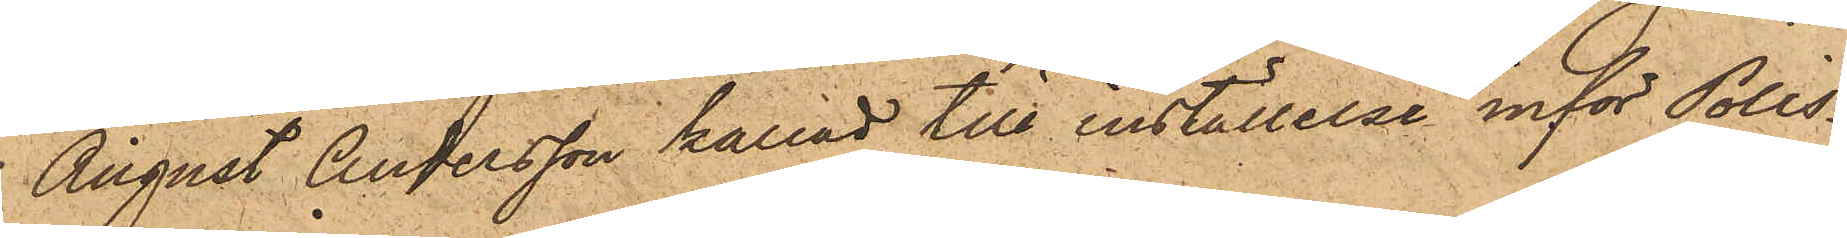August Andersson kallad till inställelse inför Polis¬
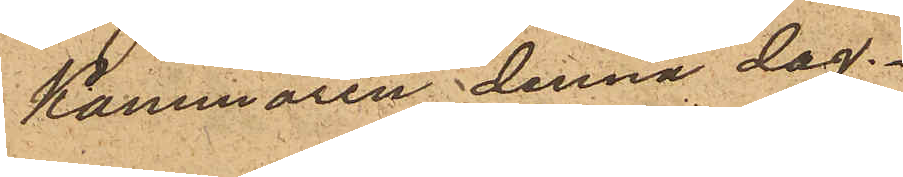Kammaren denna dag.
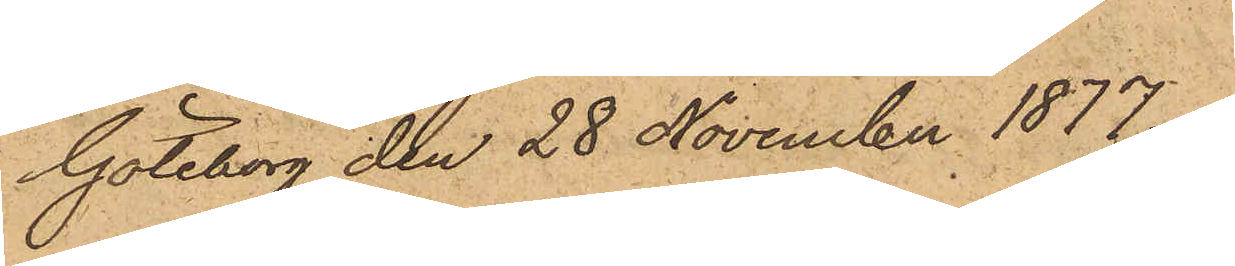Göteborg den 28 November 1877.
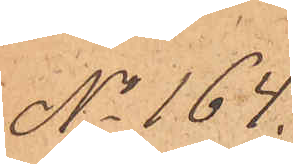No 164.
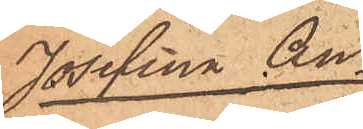Josefina An¬
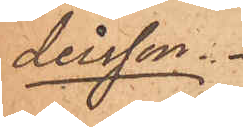dersson.
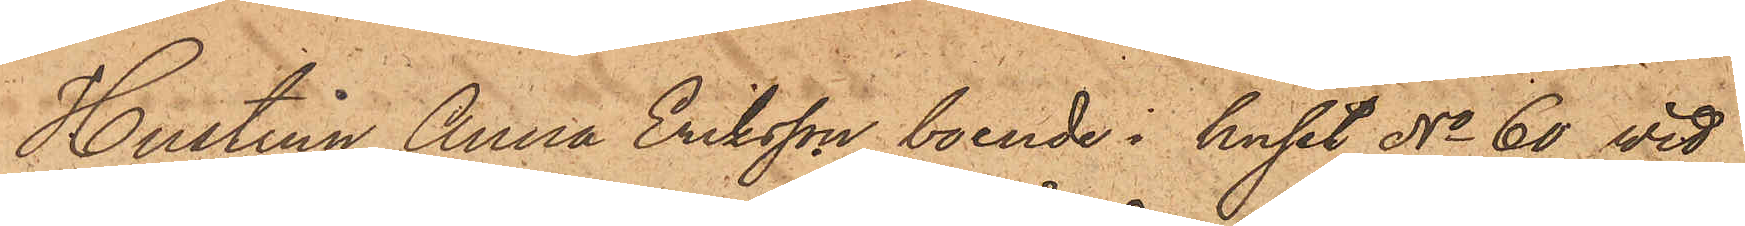Hustrun Anna Eriksson, boende i huset No 60 vid
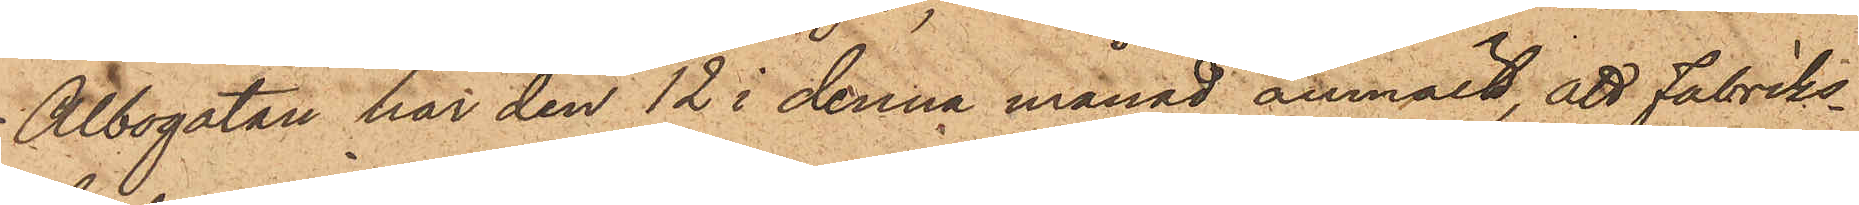Albogatan har den 12 i denna månad anmält, att fabriks¬
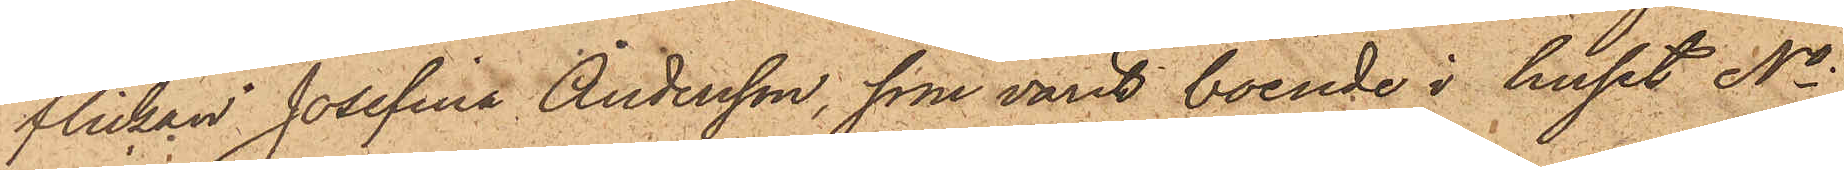flickan Josefina Andersson, som varit boende i huset No
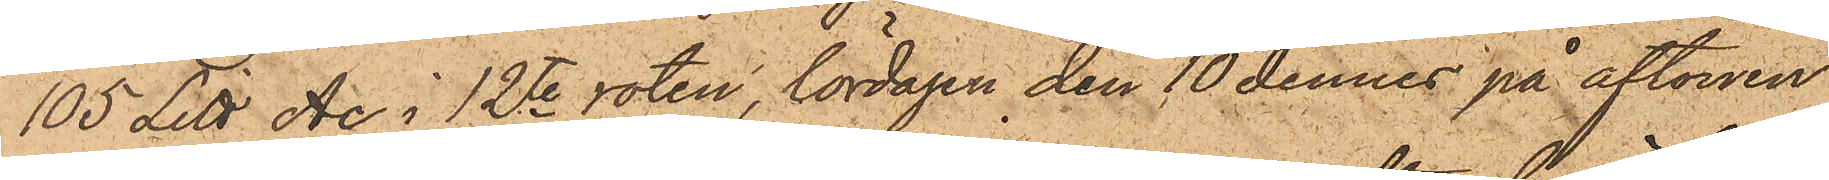105 Litt. Ac i 12te roten, lördagen den 10 dennes på aftonen
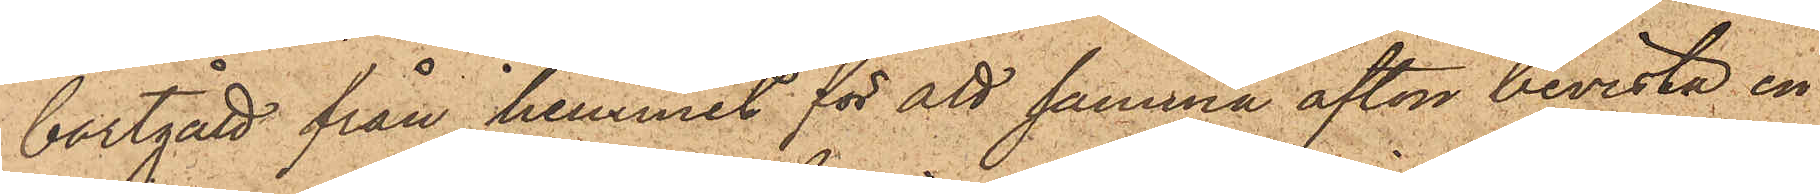bortgått från hemmet för att samma afton bevista en
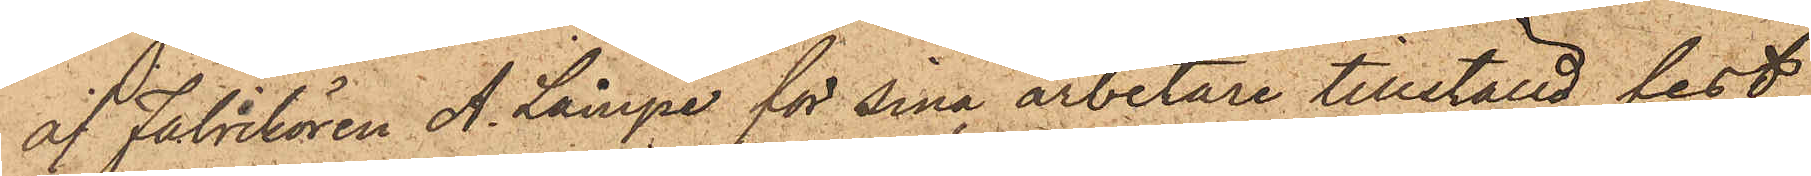af Fabrikören A. Lampe för sina arbetare tillställd fest
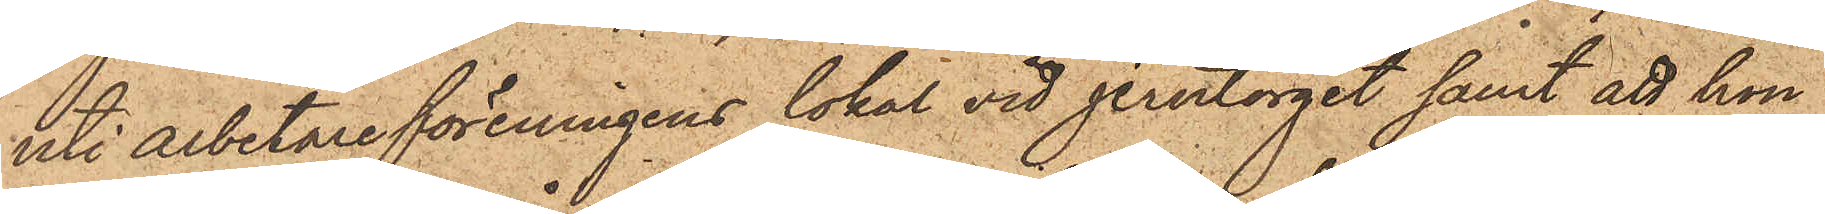uti Arbetareföreningens lokal vid Jerntorget samt att hon
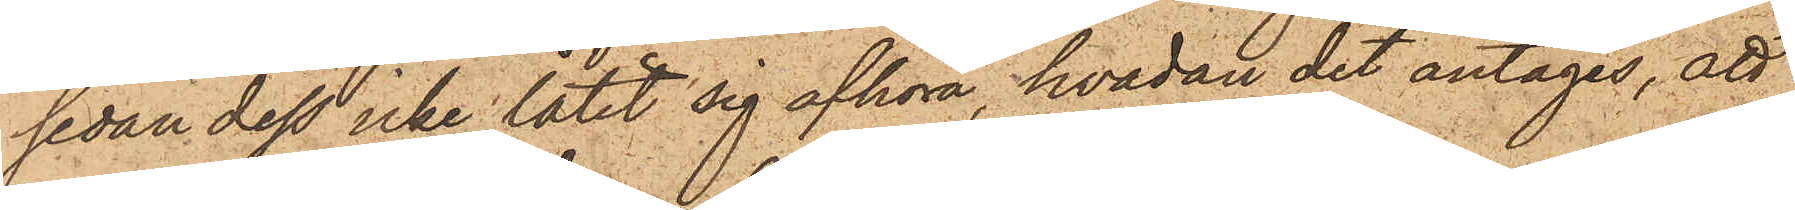sedan dess icke låtit sig afhöra, hvadan det antages, att
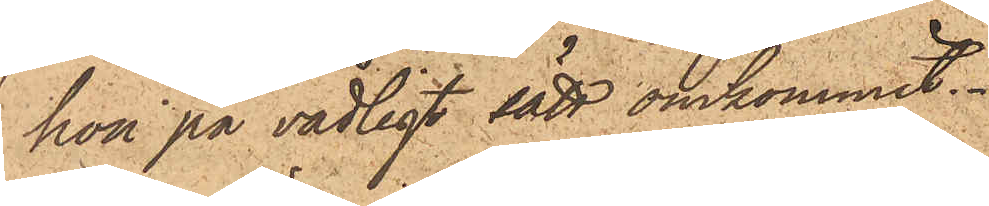hon på vådligt sätt omkommit.
